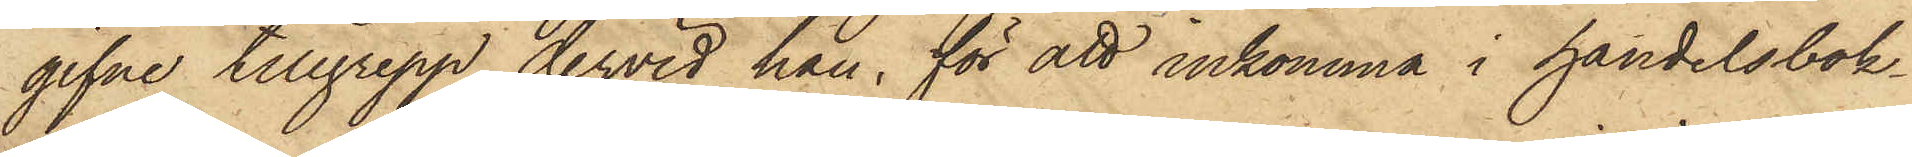gifne tillgrepp, dervid han, för att inkomma i handelsbok¬
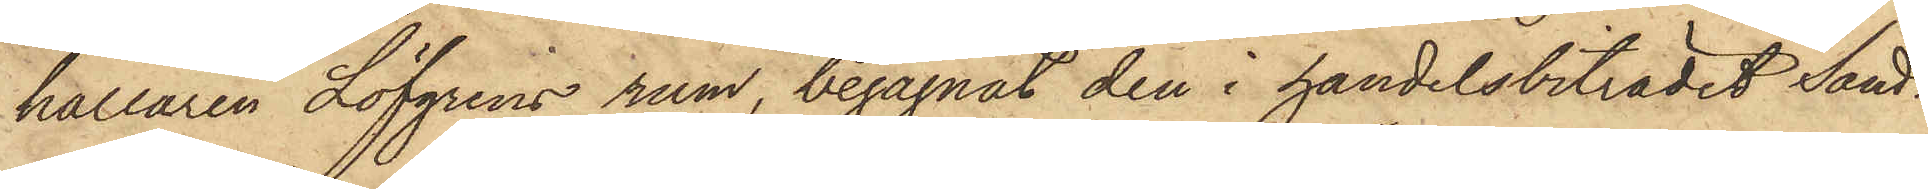hållaren Löfgrens rum, begagnat den i handelsbiträdet Sand¬
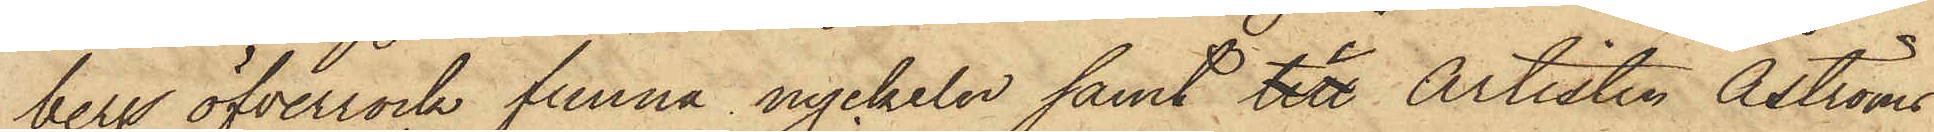bergs öfverrock funna nyckeln samt i Artisten Åströms
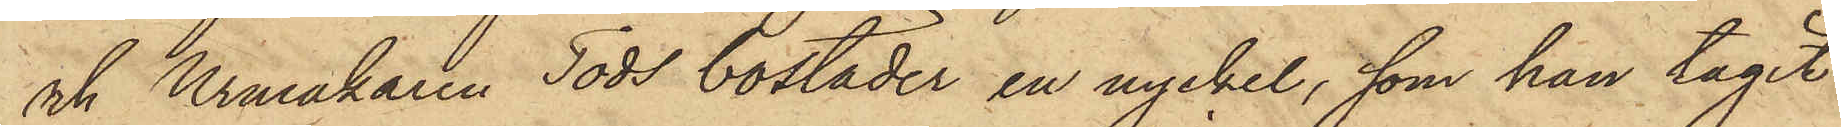och Urmakaren Tods bostäder en nyckel, som han tagit
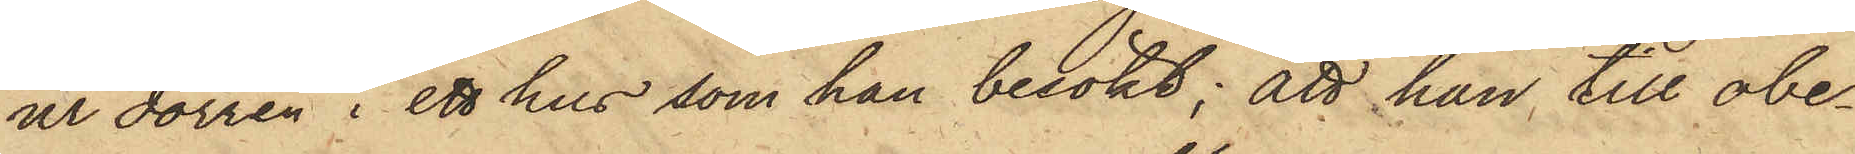ur dörren i ett hus som han besökt; att han till obe¬
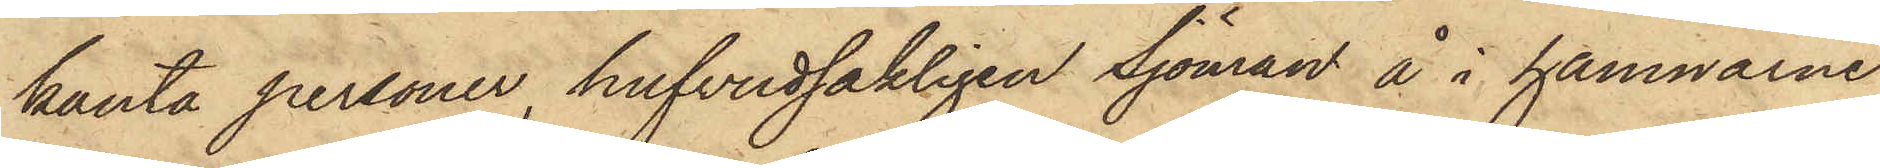kanta personer, hufvudsakligen Sjöman å i hamnarne
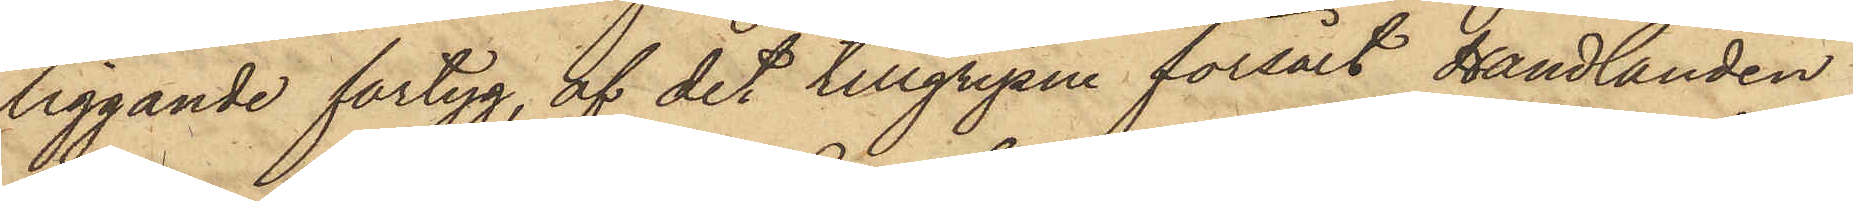liggande fartyg, af det tillgripne försålt Handlanden
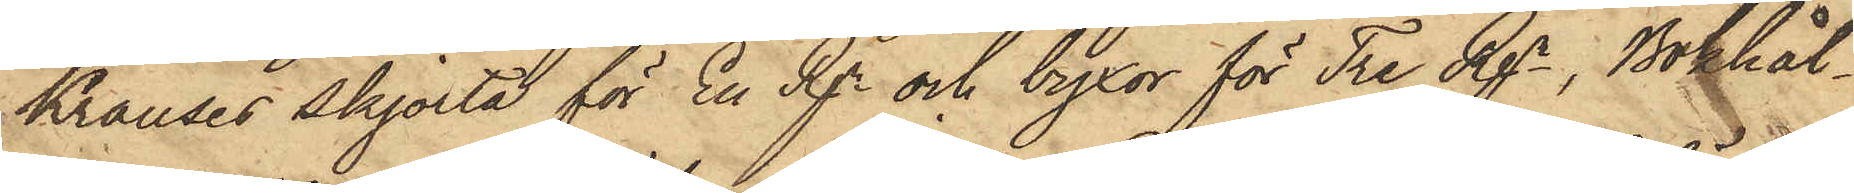Krauses skjorta för En Rgr och byxor för Tre Rgr, Bokhål¬
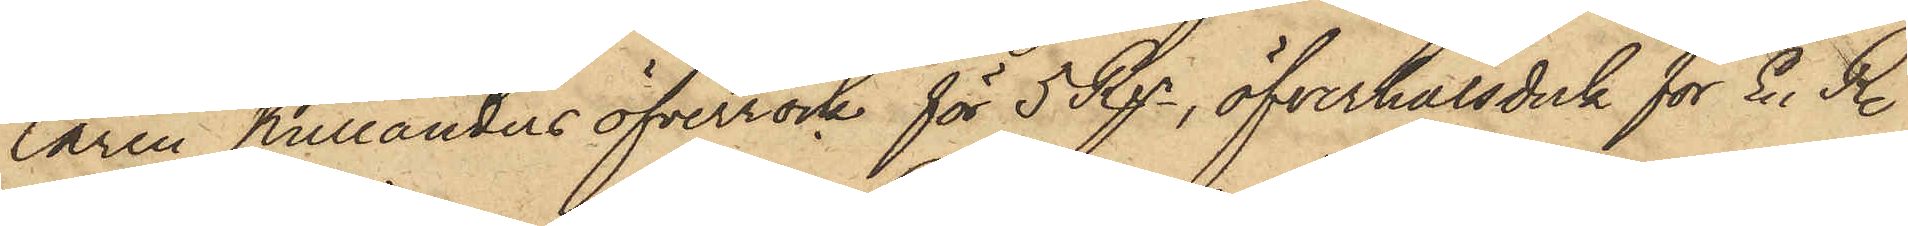laren Kullanders öfverrock för 5 Rgr, öfverhalsduk för En R.
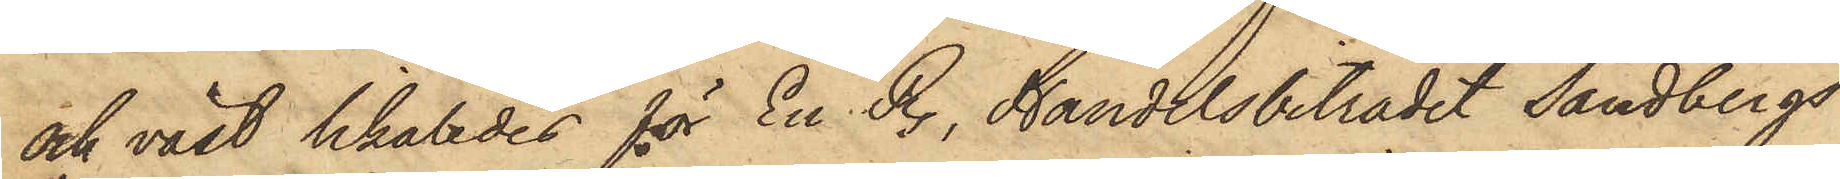och väst likaledes för En R., Handelsbiträdet Sandbergs
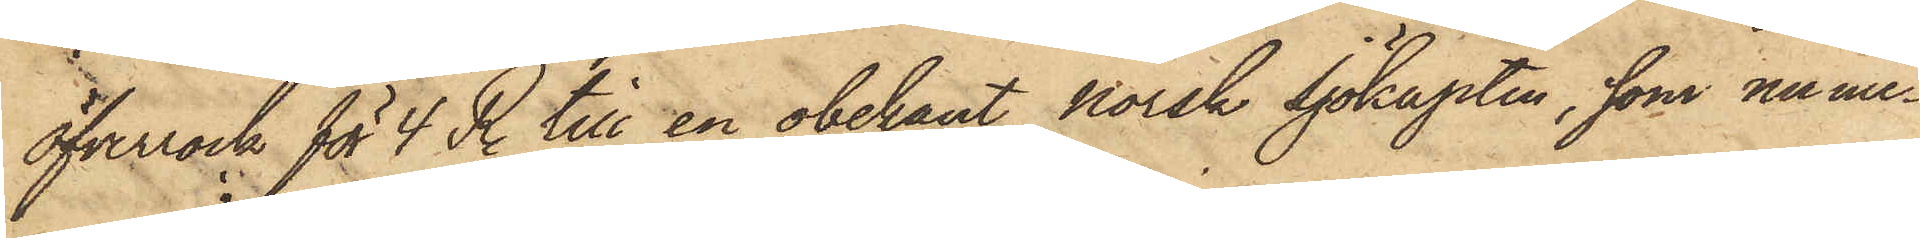öfverrock för 4 R. till en obekant norsk Sjökapten, som nume¬
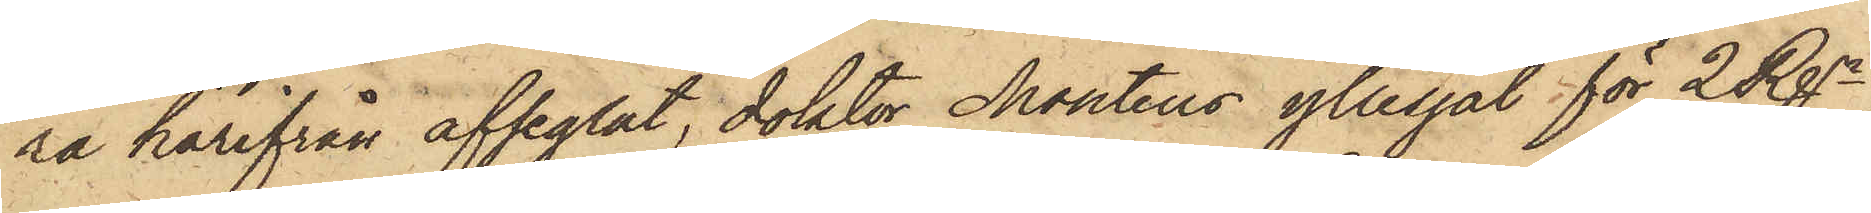ra härifrån afseglat, doktor Monténs yllesjal för 2 Rgr,
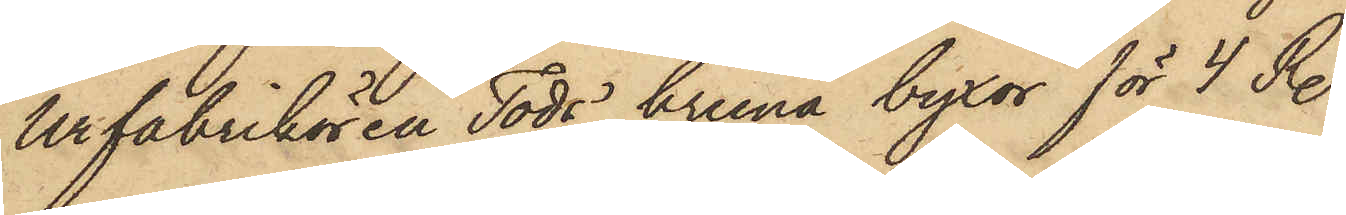Urfabrikören Tods bruna byxor för 4 R.
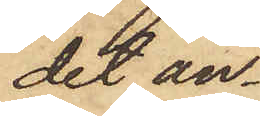det an¬
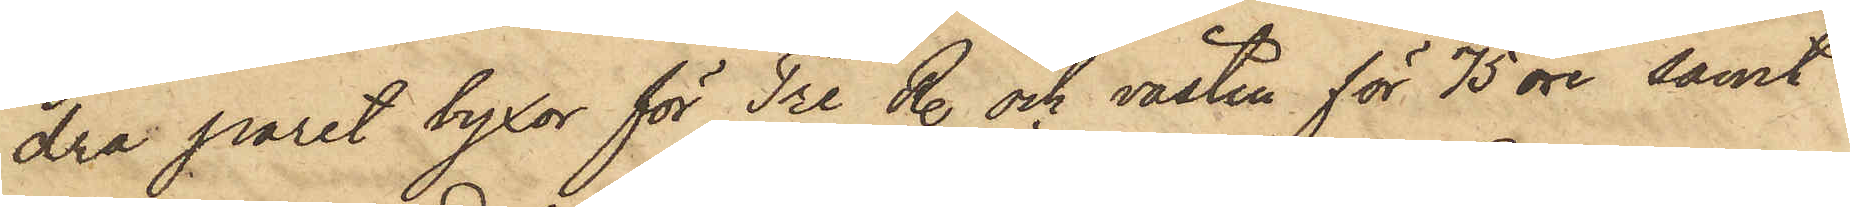dra paret byxor för Tre R. och västen för 75 öre samt
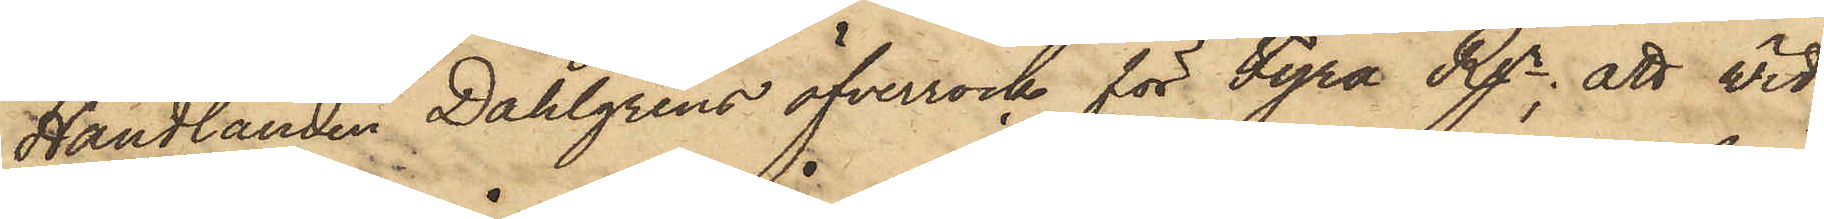Handlanden Dahlgrens öfverrock för Fyra Rgr; att wid
